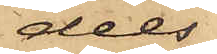dels
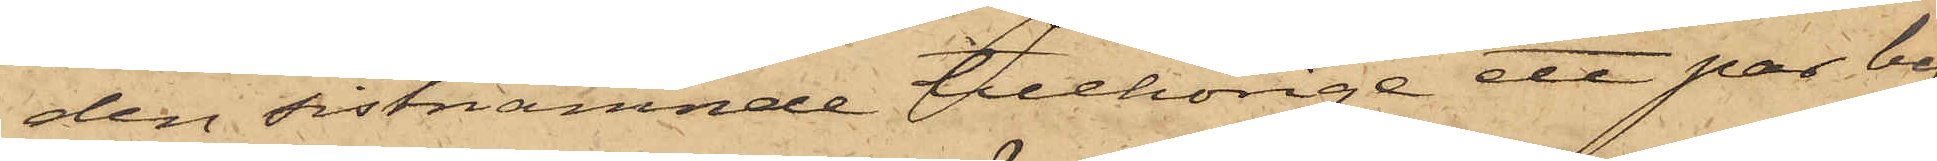den sistnämnde tillhörige ett par by¬
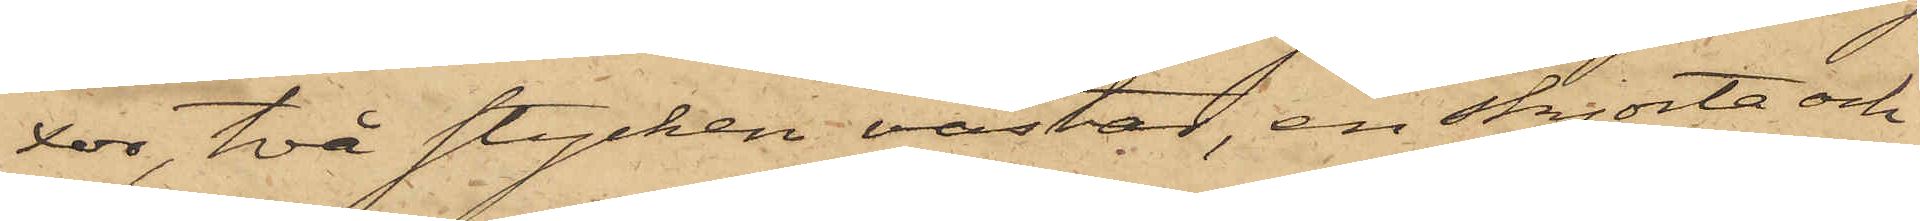xor, två stycken västar, en skjorta och
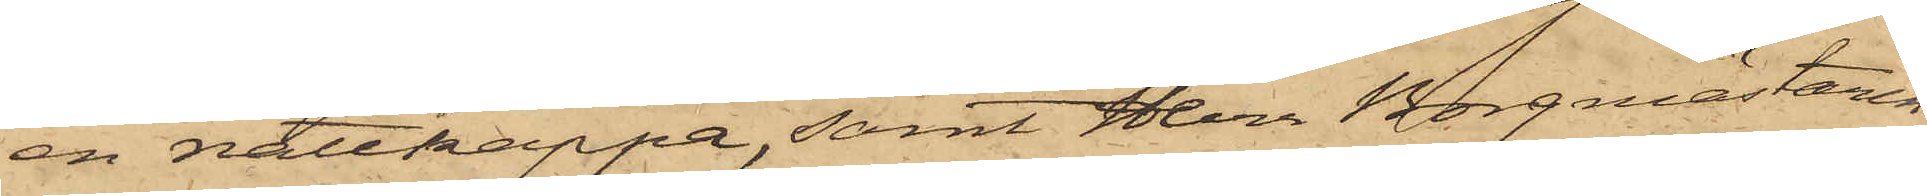en nattkappa, samt Herr Borgmästaren
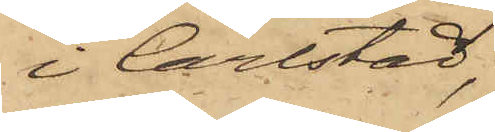i Carlstad,
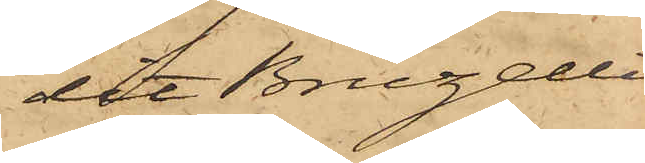dit Bruzelli
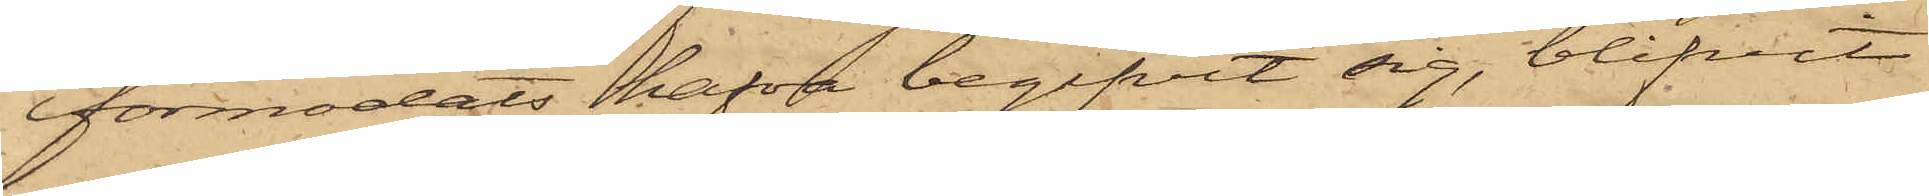förmodats hafva begifvit sig, blifvit
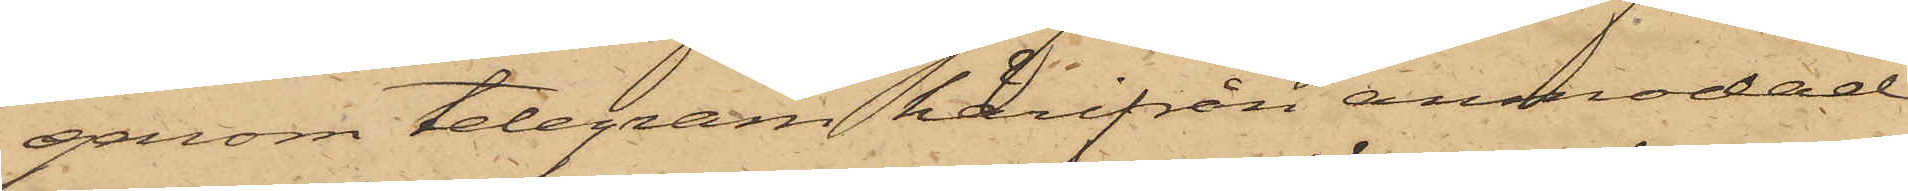genom telegram härifrån anmodad
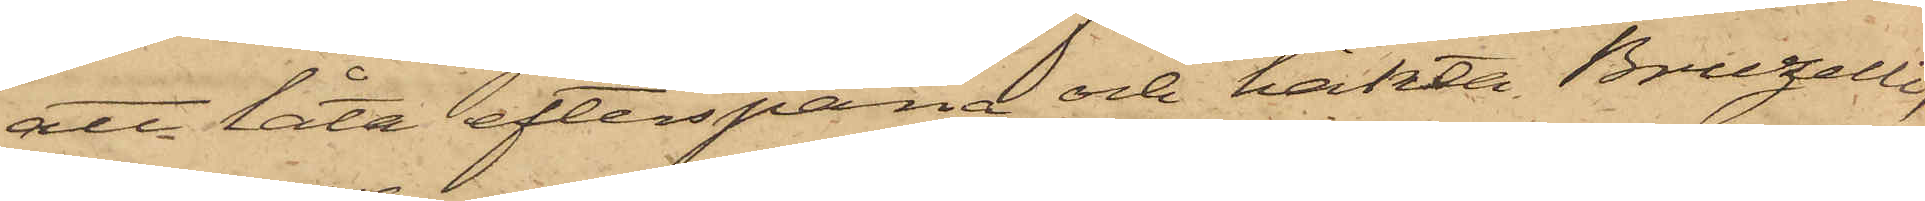att låta efterspana och häkta Bruzelli,
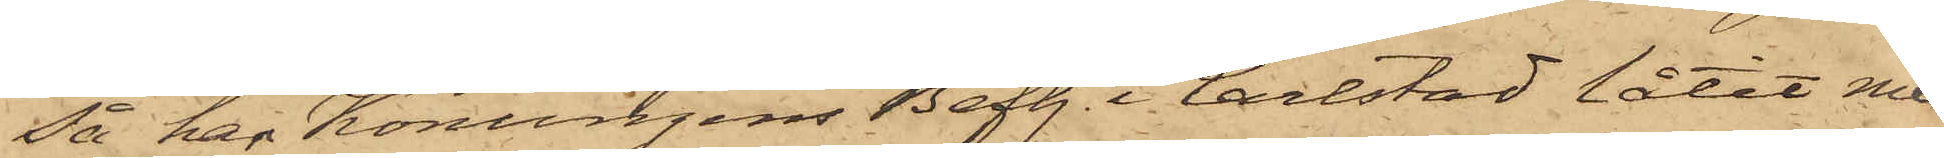så har Konungens Befh. i Carlstad låtit med
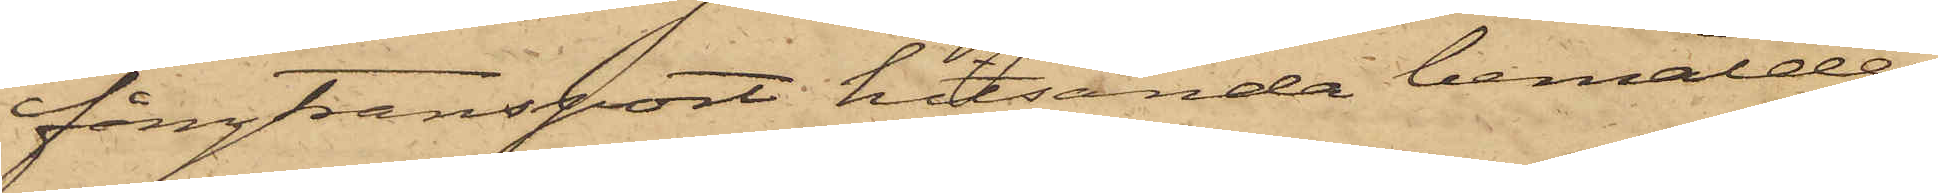fångtransport hitsända bemälde
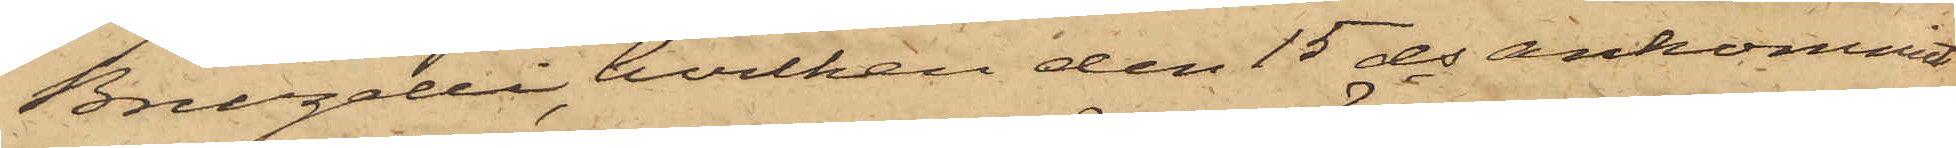Bruzelli, hvilken den 15 ds ankommit
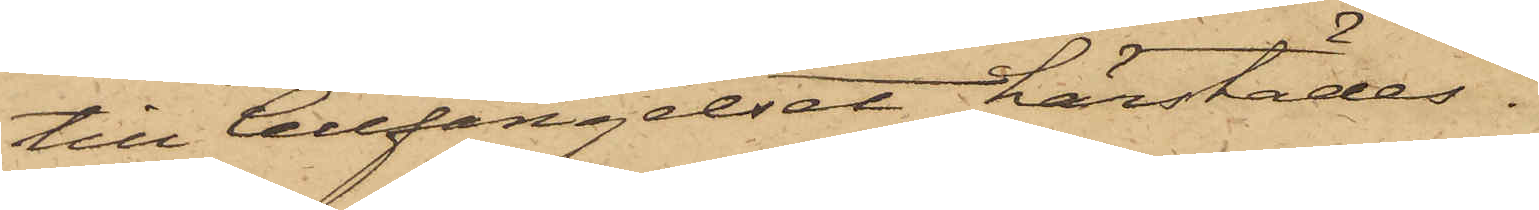till Cellfängelset härstädes.
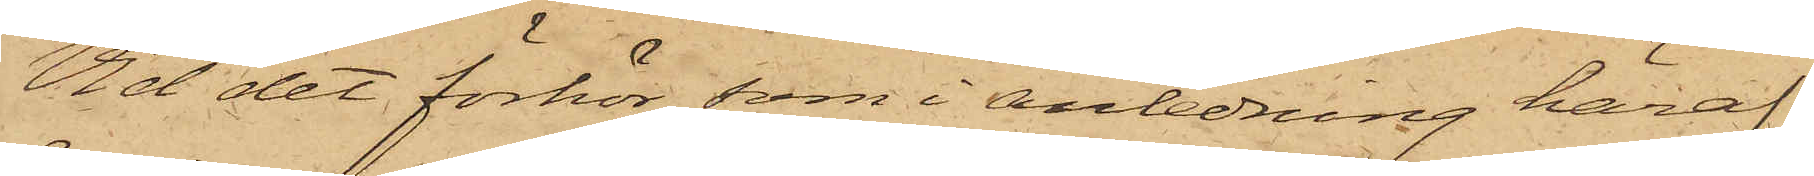Vid det förhör, som i anledning häraf
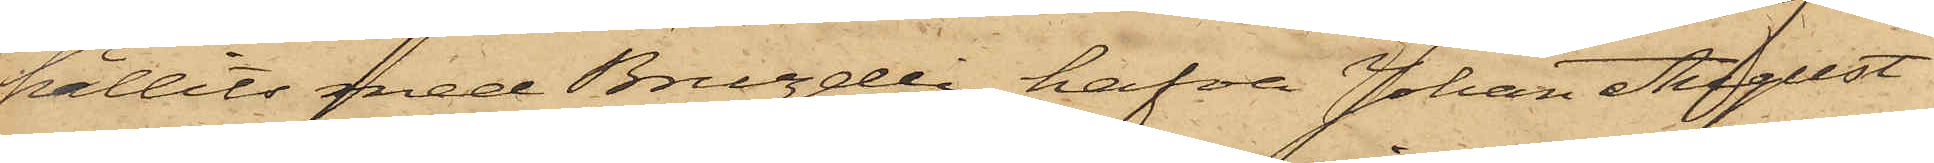hållits med Bruzelli, hafva Johan August
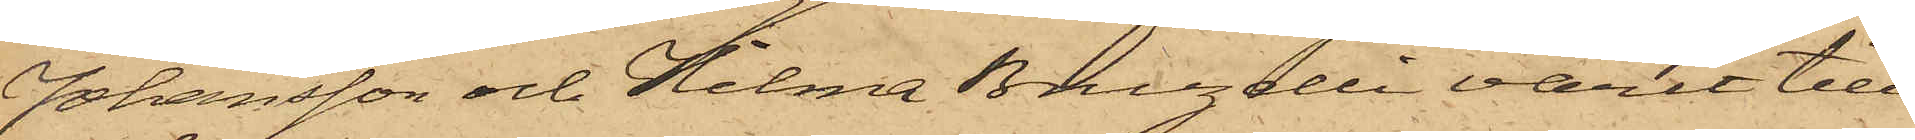Johansson och Hilma Bruzelli varit till¬
